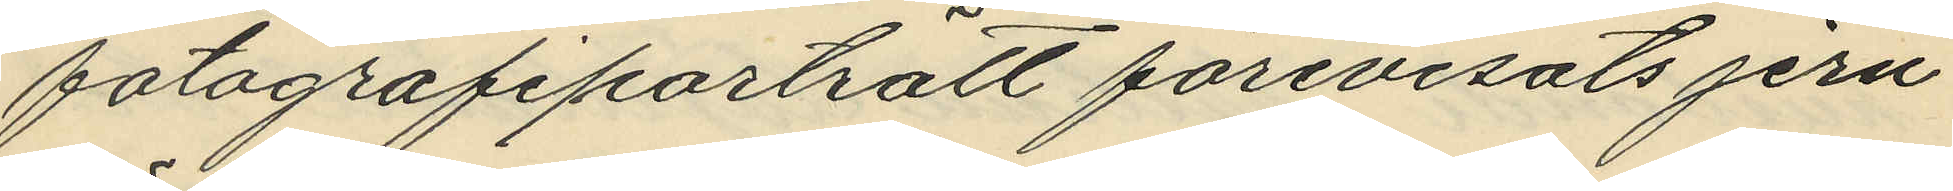fotografiporträtt förevisats jern¬
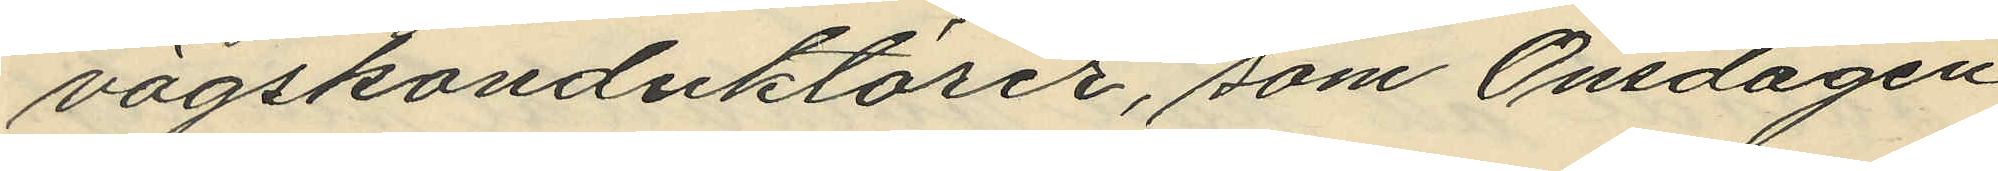vägskonduktörer, som Onsdagen
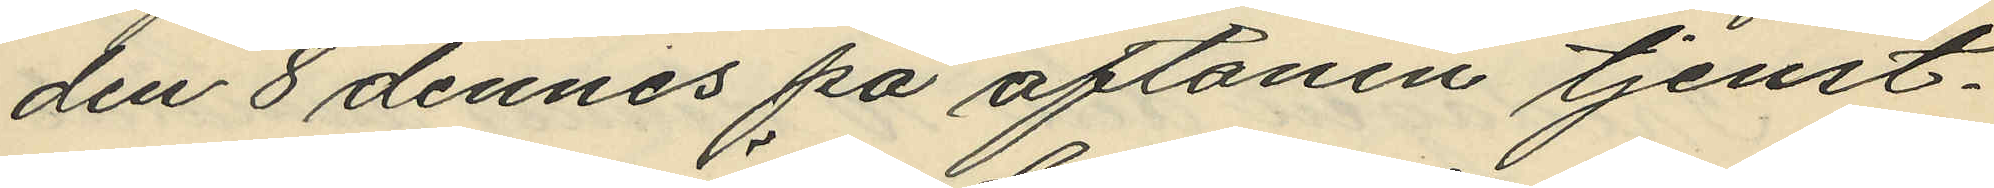den 8 dennes på aftonen tjenst¬
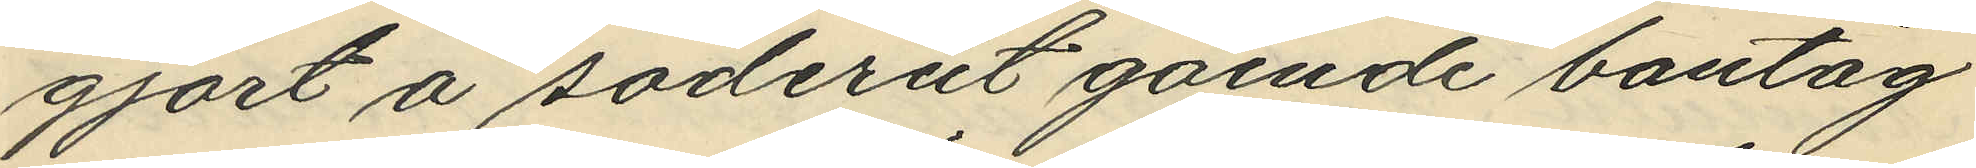gjort å söderut gående bantåg
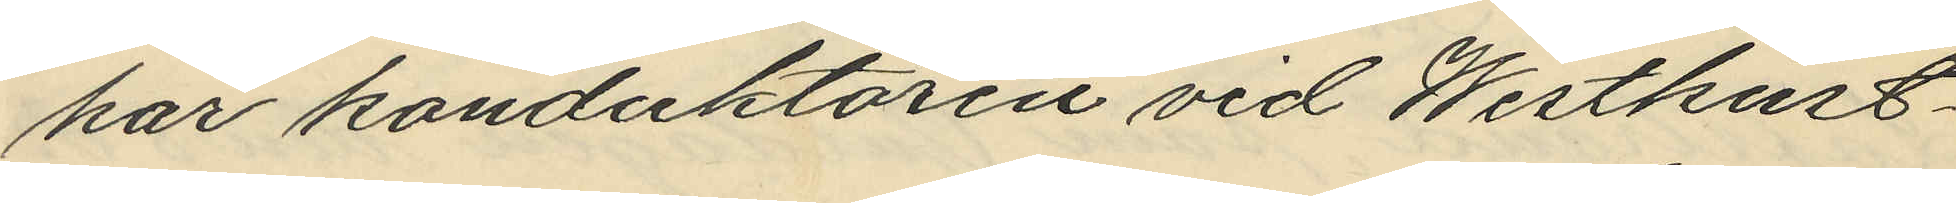har konduktören vid Westkust¬
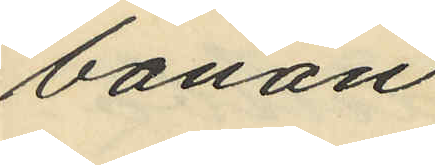banan
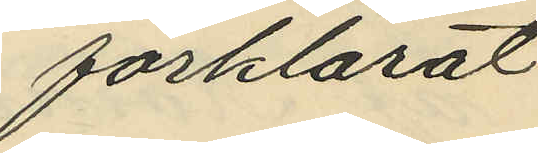förklarat
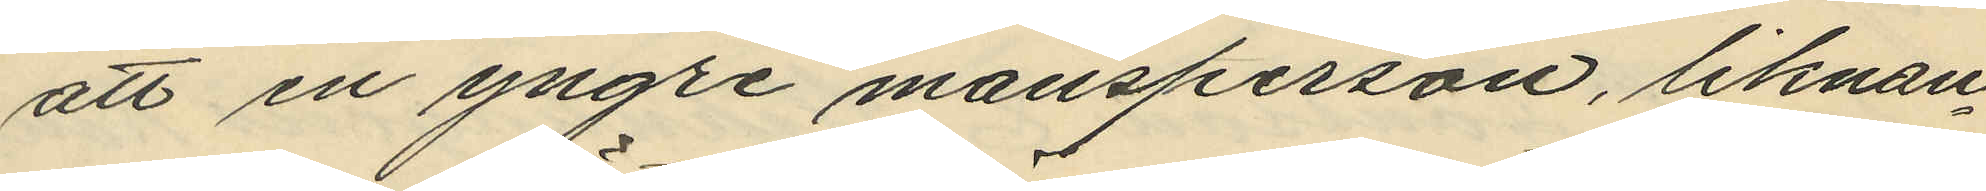att en yngre mansperson, liknan¬
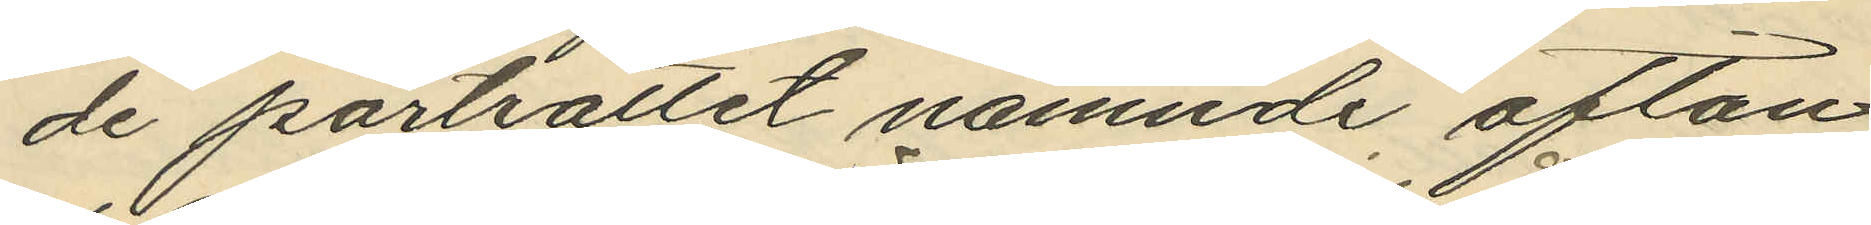de porträttet nämnde afton
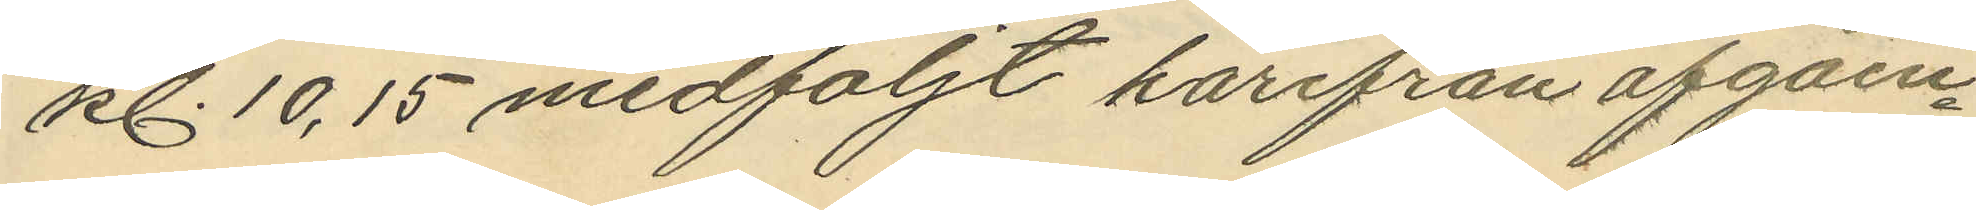kl. 10,15 medföljt härifrån afgåen
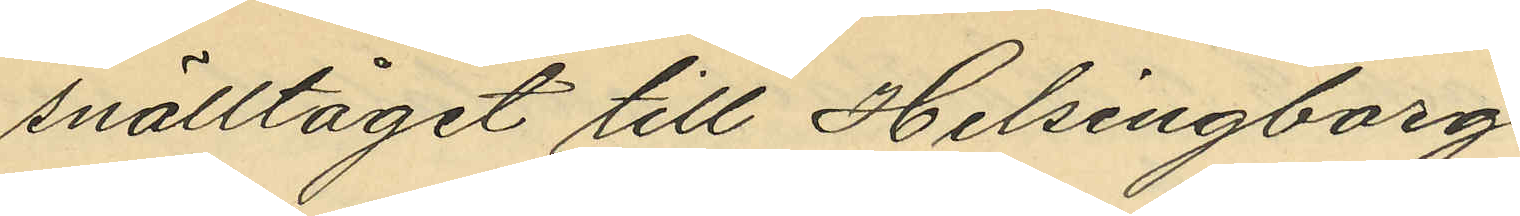snälltåg till Helsingborg
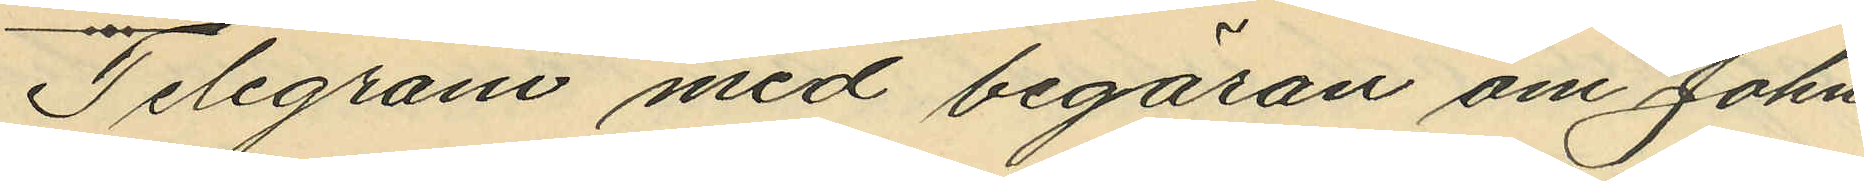Telegram med begäran om John
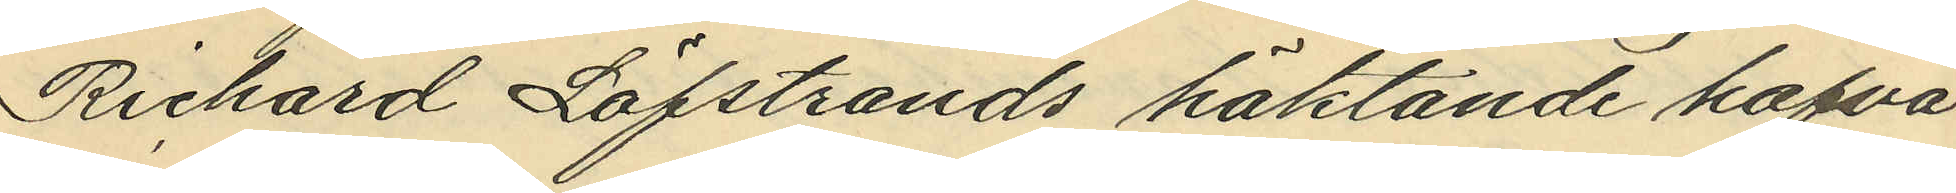Richard Löfstrands häktande hafva
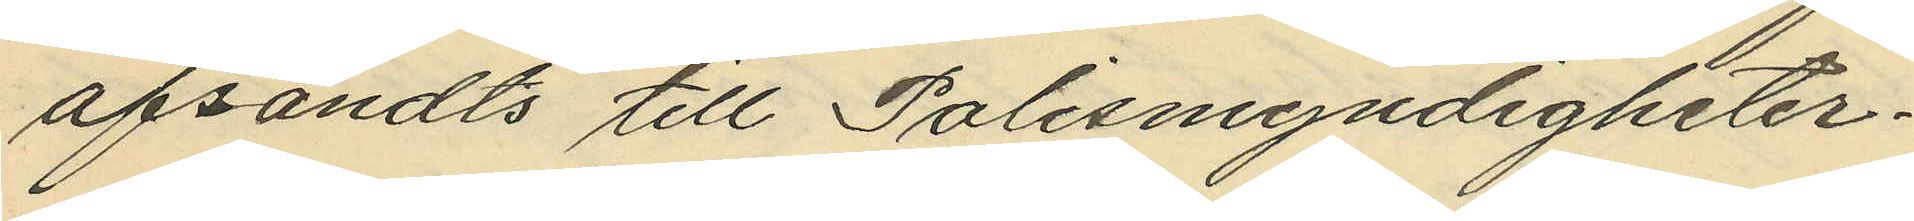afsändts till Polismyndigheter¬
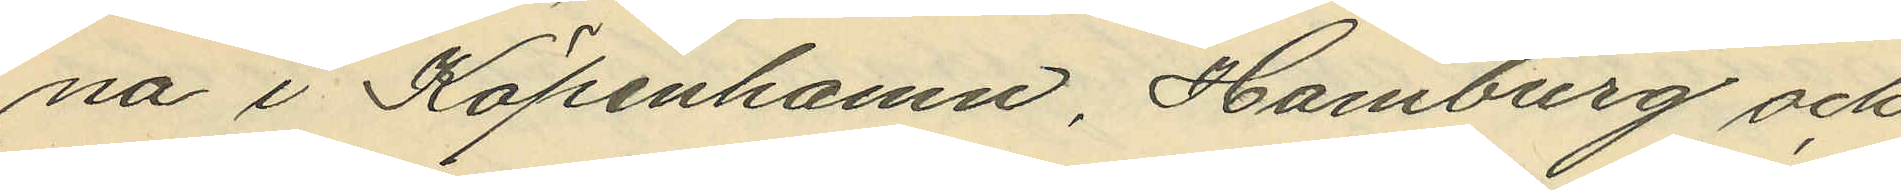na i Köpenhamn, Hamburg och
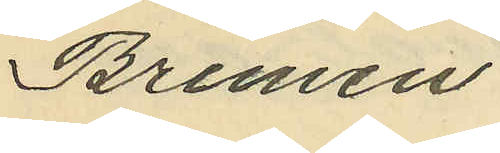Bremen.
